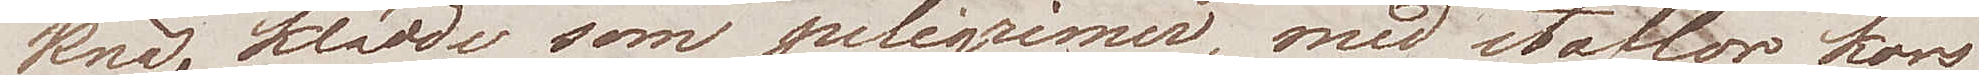knä, klädde som peeigrimer, med stafdon, kors
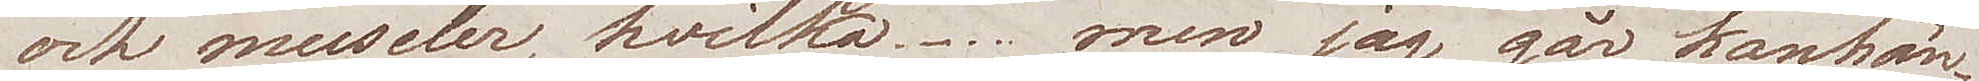och museler, hvilka..... men jag går kanhän¬
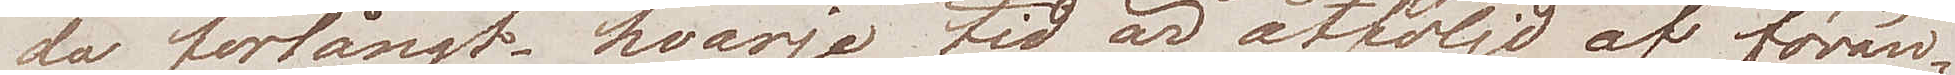da förlångt. Hvarje tid är åtföljd af förän¬
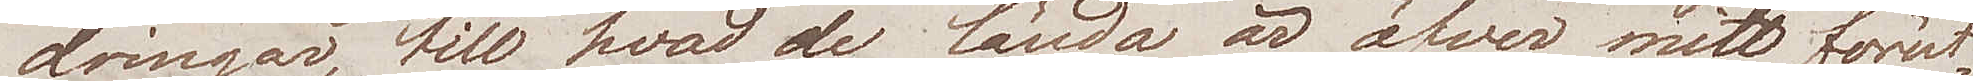dringar, till hvad de lända är öfver mitt förut¬
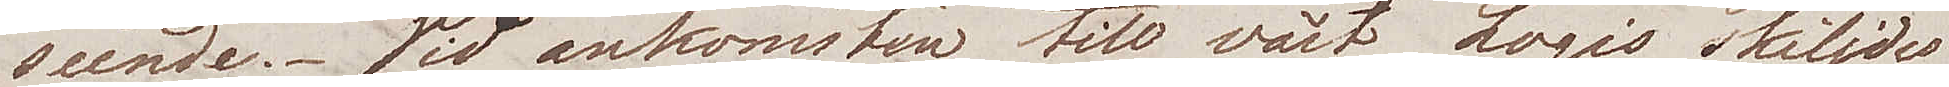seende. Vid ankomsten till vårt Logis skiljdes
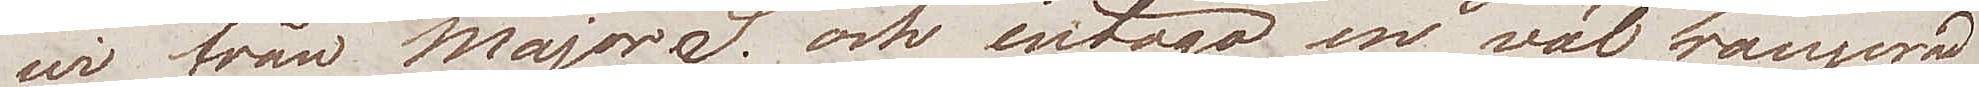wi från Major S. och intogo en väl arrangerad
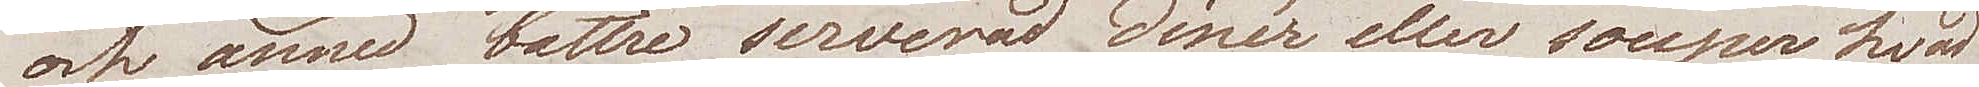och ännu bättre serverad dinér eller souper hvad
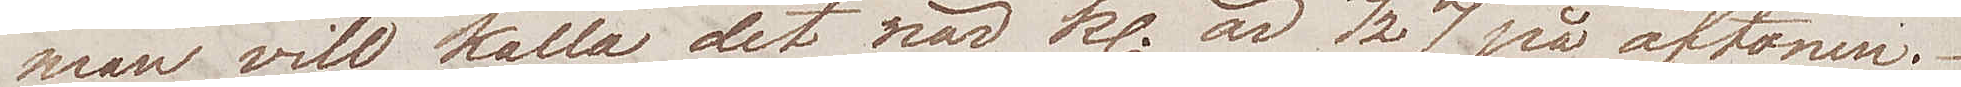man vill kalla det när kl. är ½ 7 på aftonen.
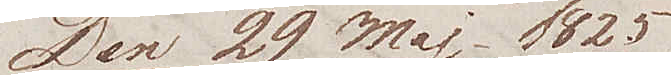Den 29 Maj 1825
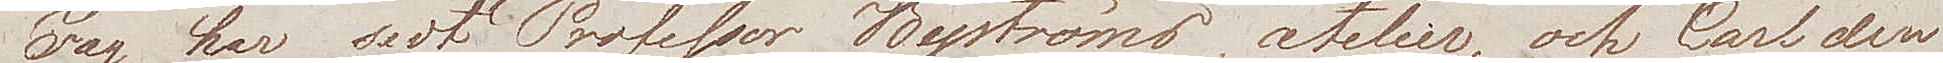Jag har sedt Professor Byströms atelier, och Carl den
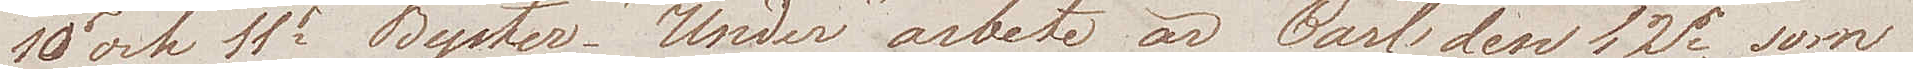10e och 11e Byster. Under arbete är Carl den 12e, som
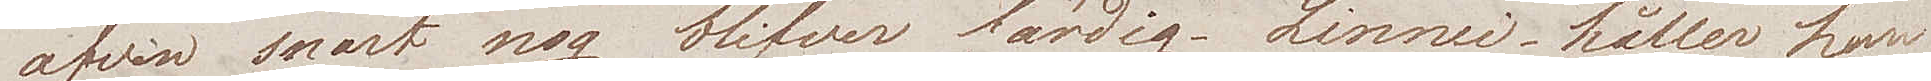äfven snart nog blifver färdig. Linnéi håller han
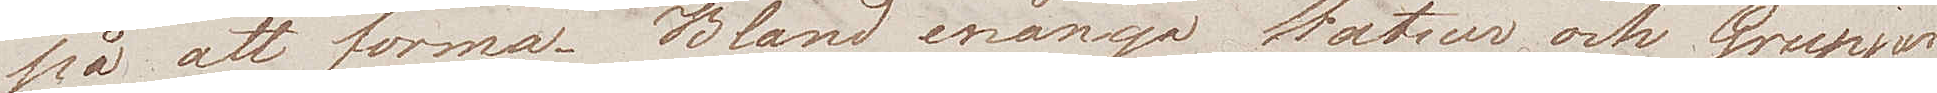på att forma. Bland många Statuer och Grupper
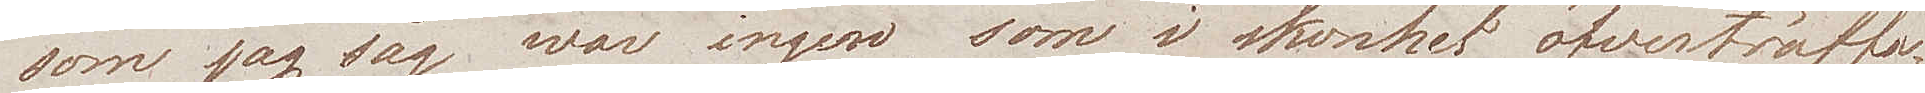som jag såg war ingen som i skönhet öfverträffa¬
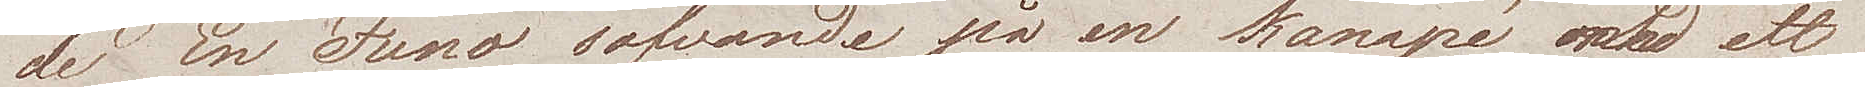de En Juno sofvande på en kanapé med ett
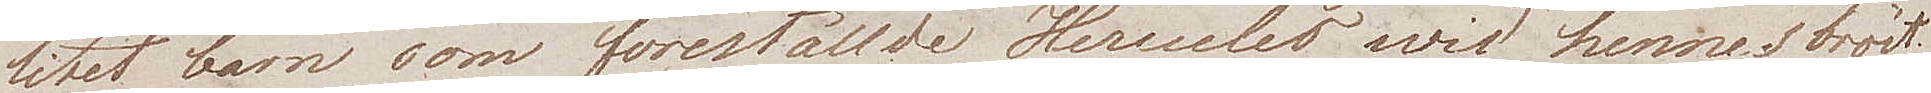litet barn som föreställde Hercules wid hennes bröst.
